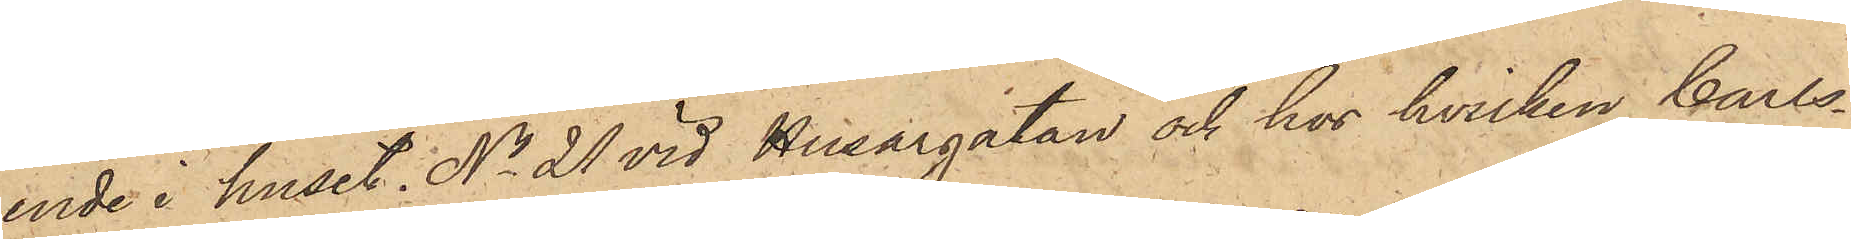ende i huset No 21 vid Husargatan och hos hvilken Carls¬
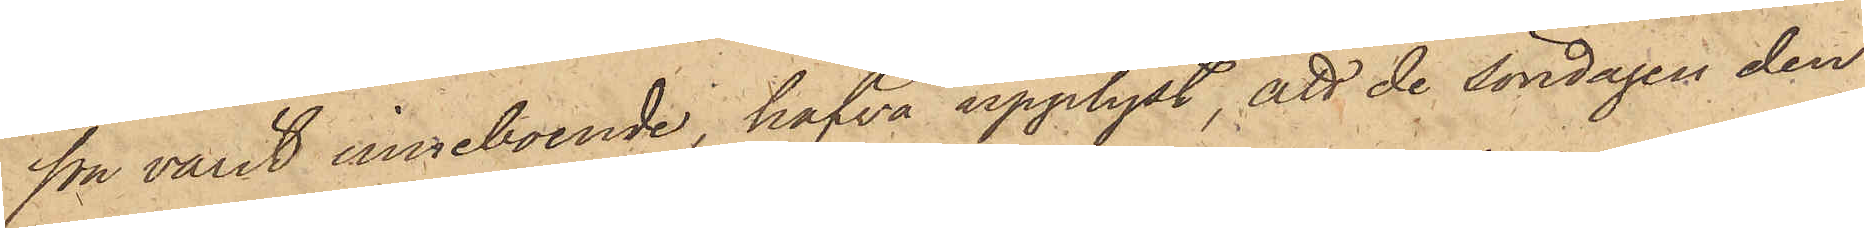son varit inneboende, hafva upplyst, att de söndagen den
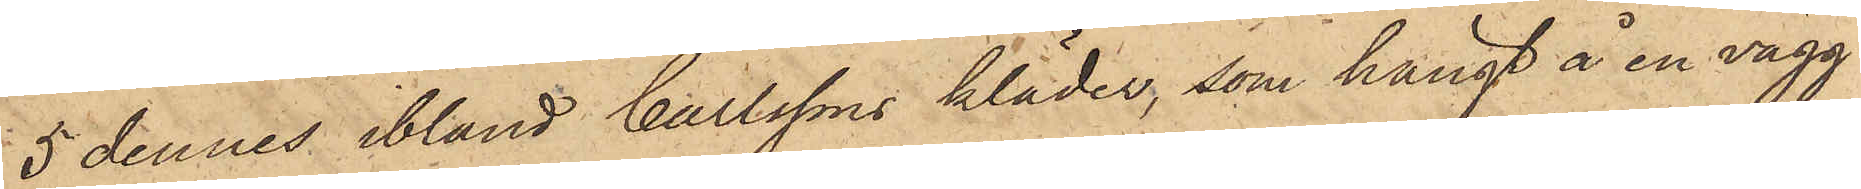5 dennes ibland Carlssons kläder, som hängt å en vägg
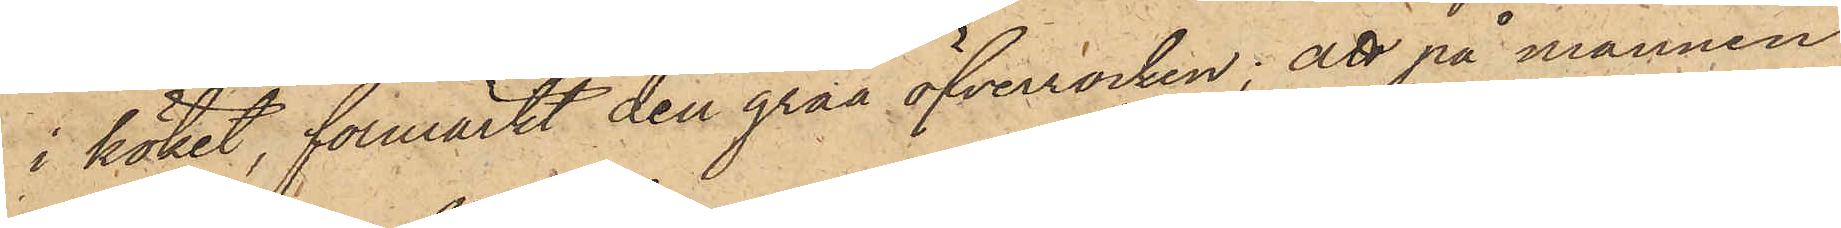i köket, förmärkt den gråa öfverrocken; att på mannen
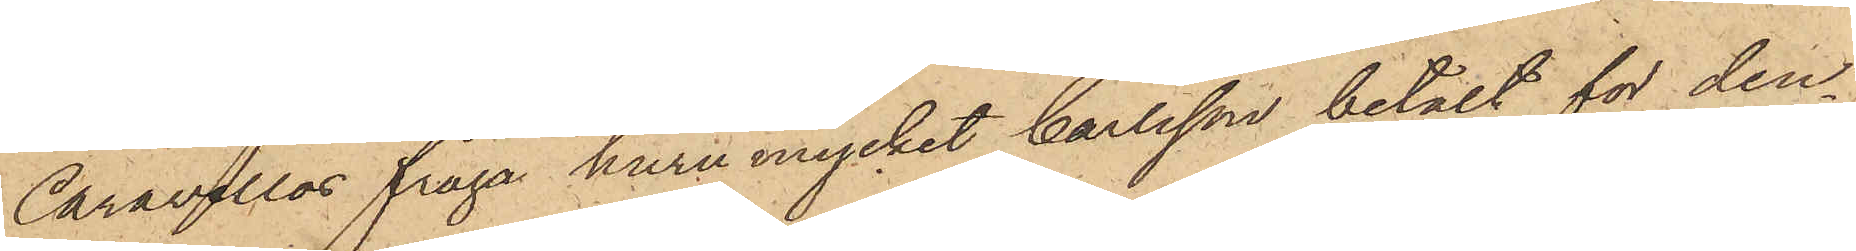Caravellos fråga huru mycket Carlsson betalt för den¬
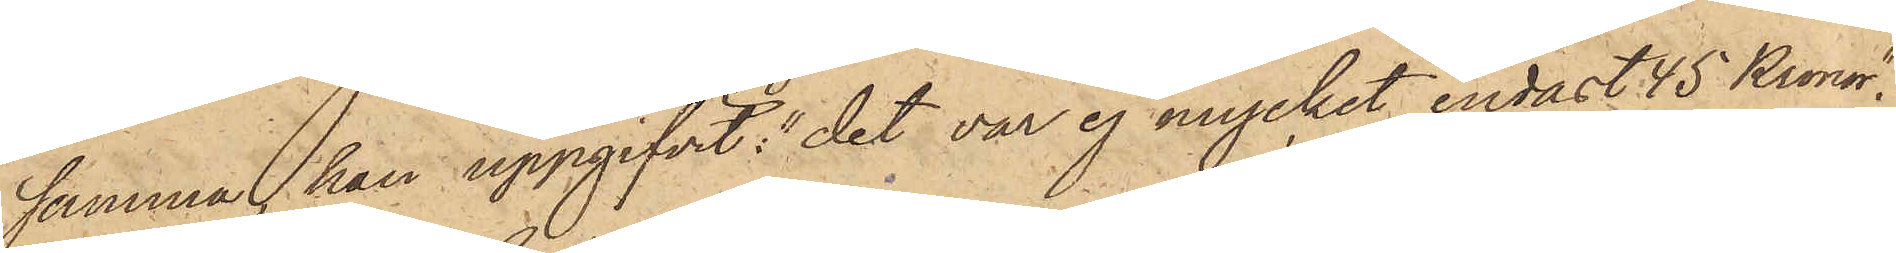samma, han uppgifvit: "det var ej mycket, endast 45 Kronor";
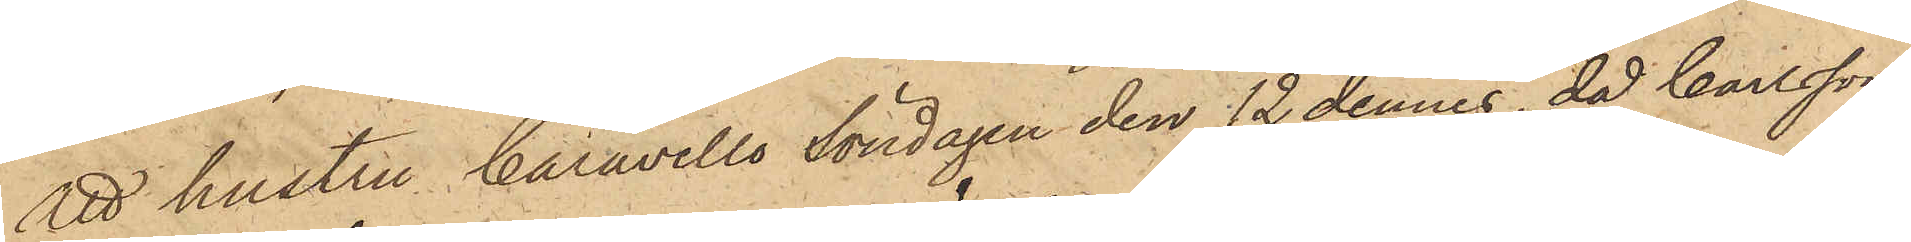att hustru Caravello Söndagen den 12 dennes, då Carlsson
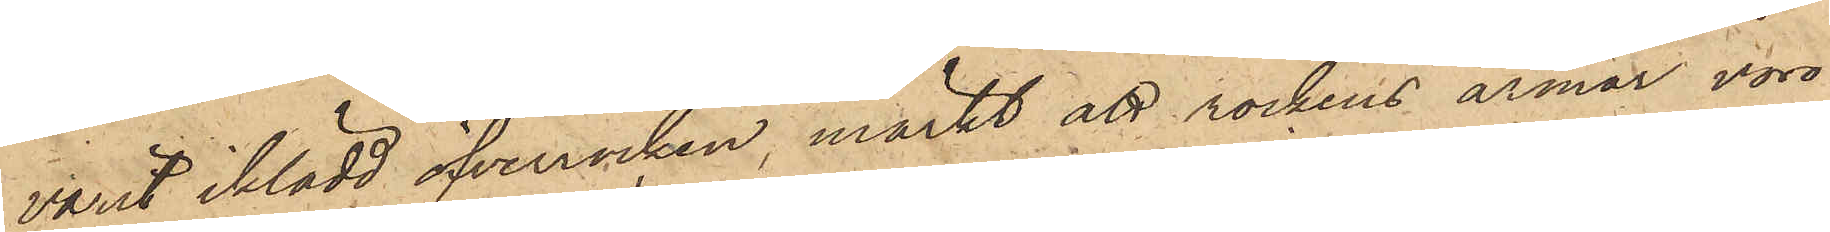varit iklädd öfverrocken, märkt att rockens armar voro
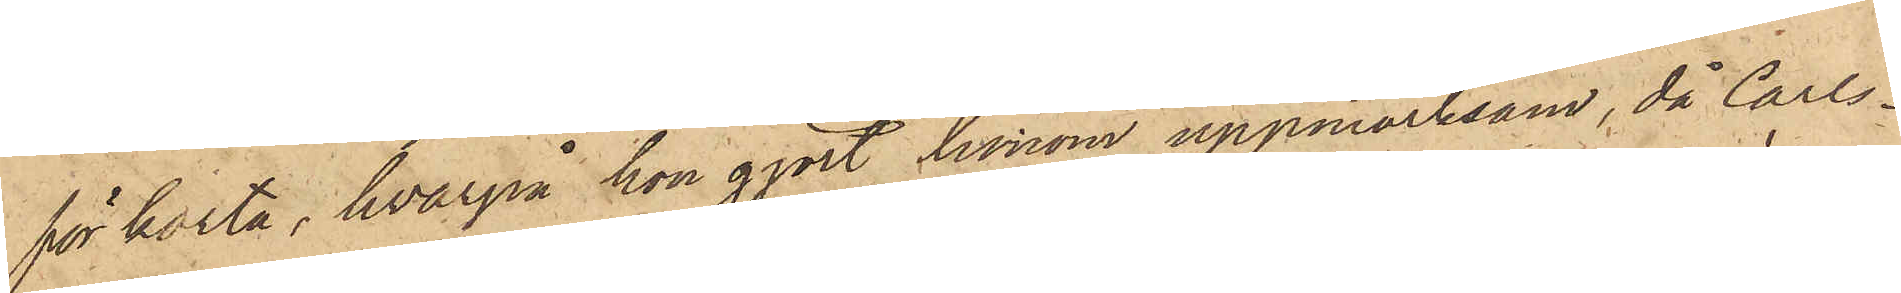för korta, hvarpå hon gjort honom uppmärksam, då Carls¬
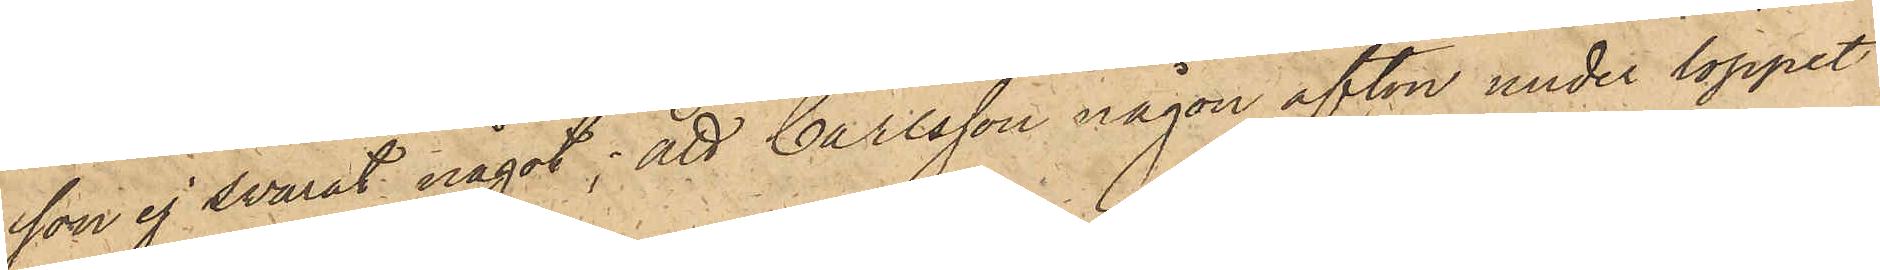son ej svarat något; att Carlsson någon afton under loppet
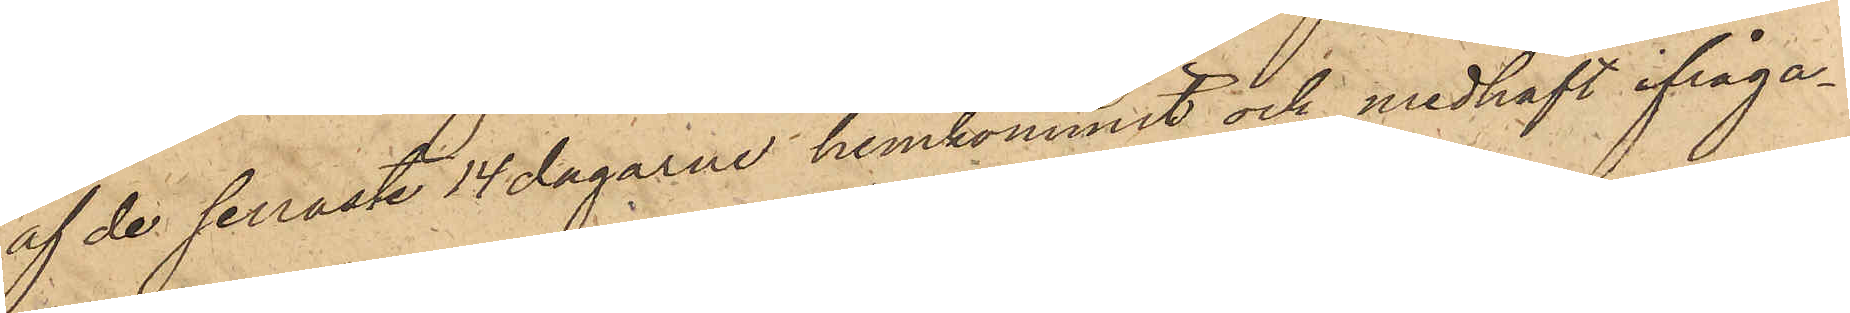af de senaste 14 dagarne hemkommit och medhaft ifråga¬
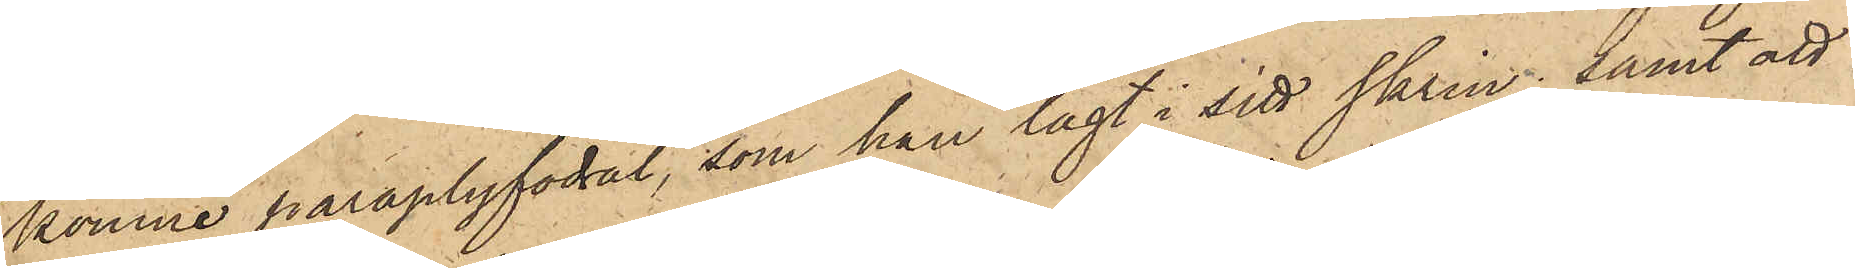komne paraplyfodral, som han lagt i sitt skrin; samt att
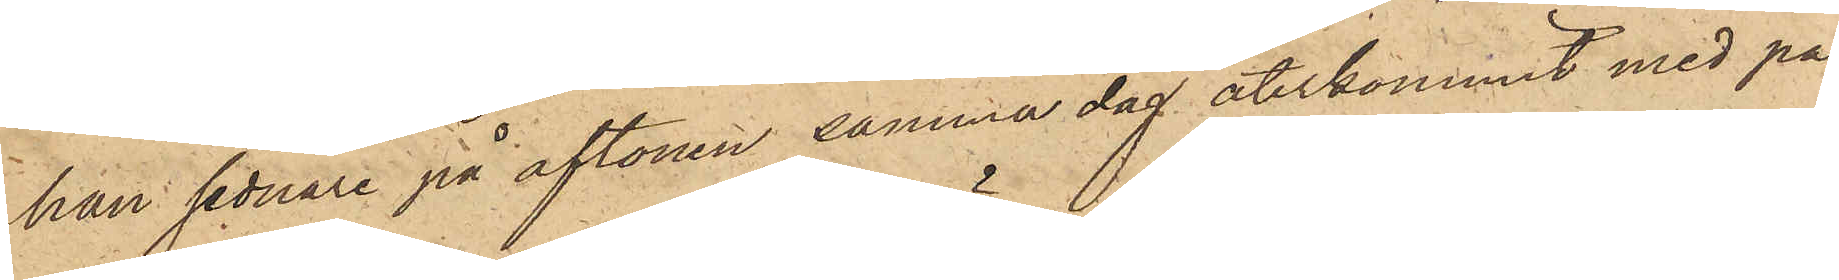han sednare på aftonen samma dag återkommit med pa¬
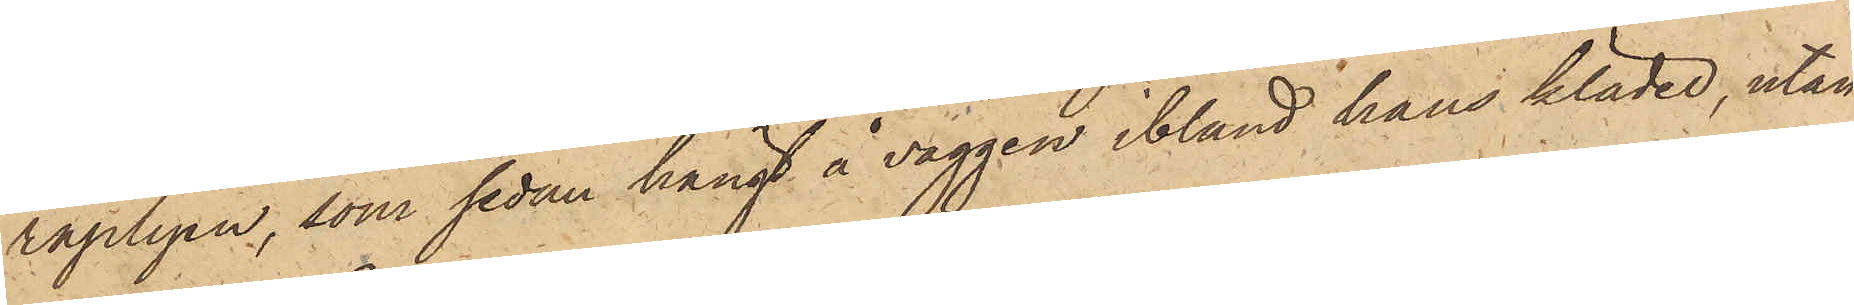raplyen, som sedan hängt å väggen bland hans kläder, utan
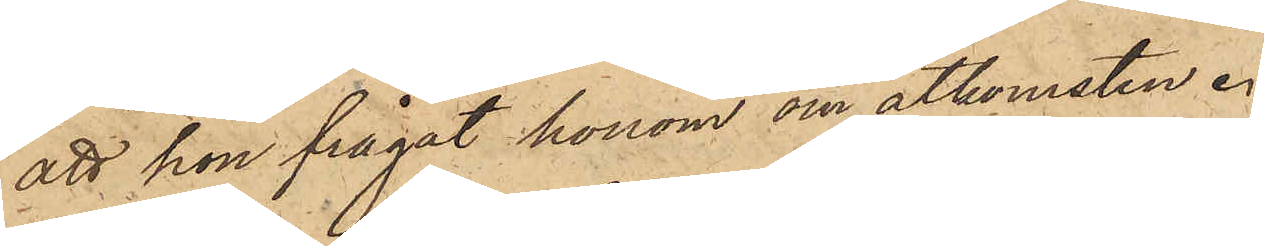att hon frågat honom om åtkomsten.
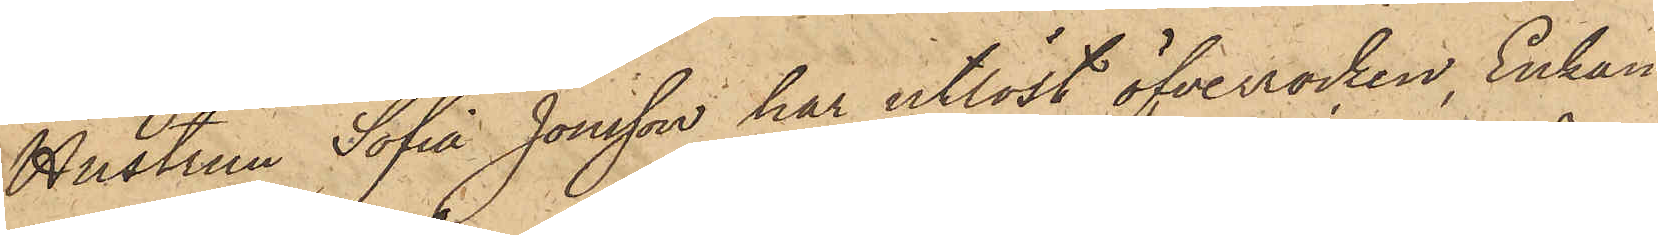Hustrun Sofia Jonsson har utlöst öfverrocken, Enkan
